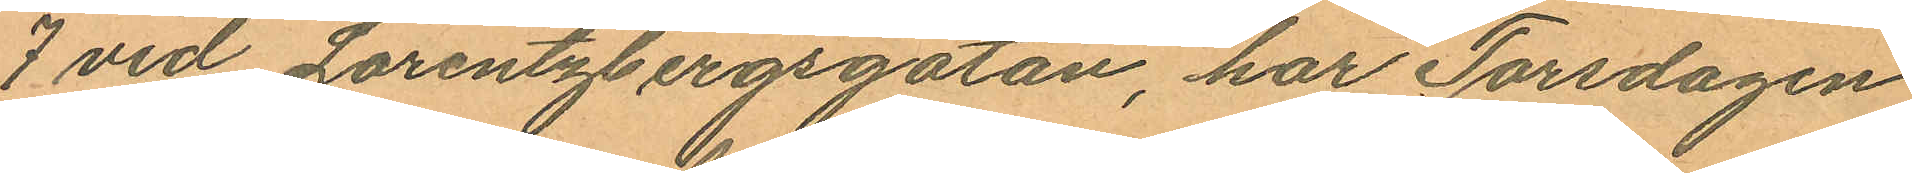7 vid Lorentzbergsgatan, har Torsdagen
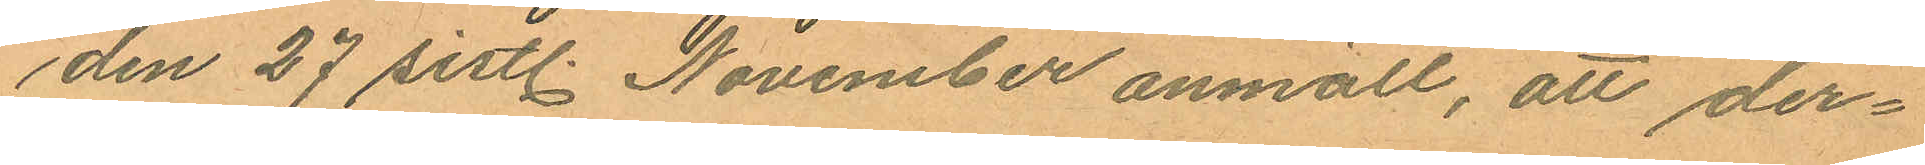den 27 sistl. November anmält, att der¬
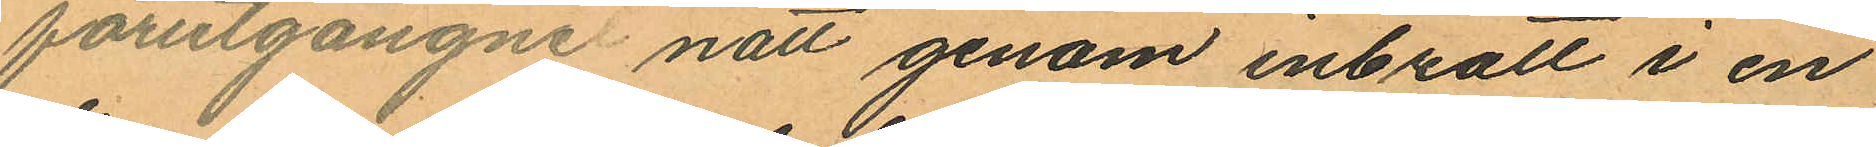förutgångne natt genom inbrott i en
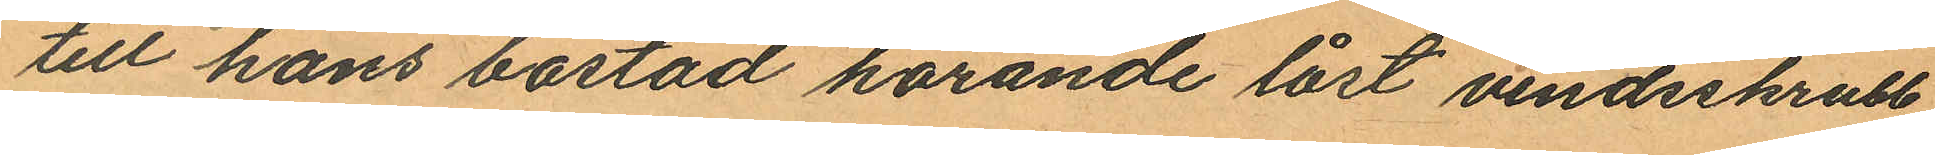till hans bostad hörande låst vindsskrubb
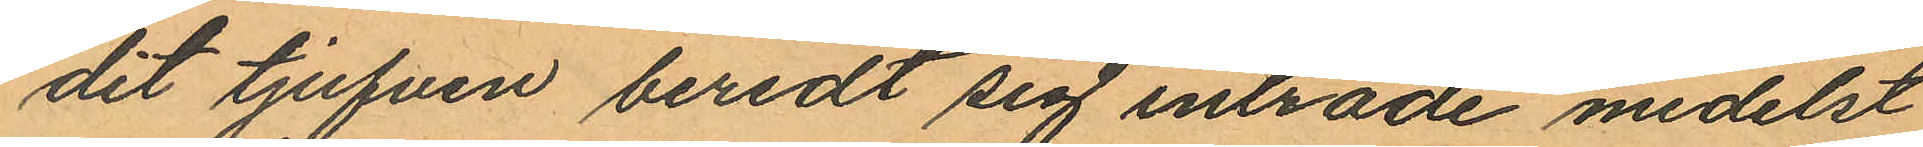dit tjufven beredt sig inträde medelst
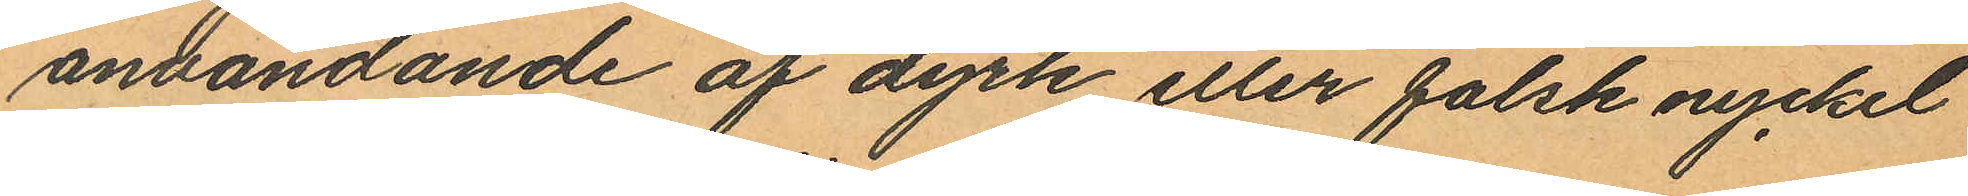användande af dyrk eller falsk nyckel
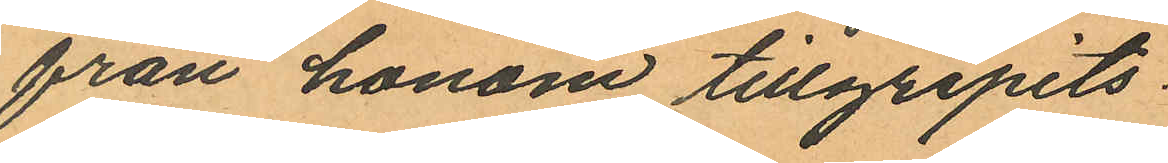från honom tillgripits:
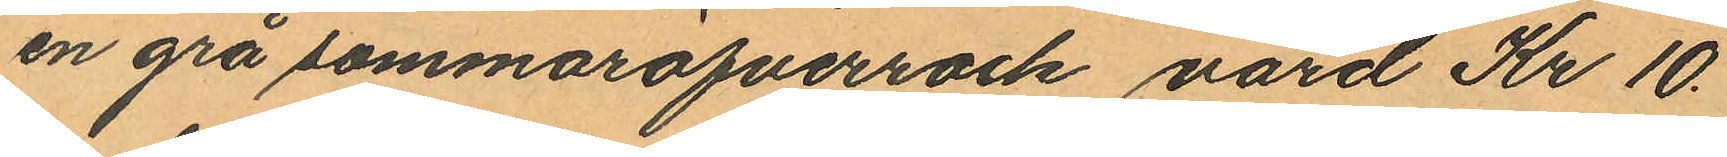en grå sommaröfverrock värd Kr 10.
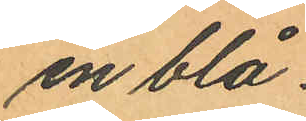en blå
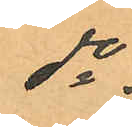do
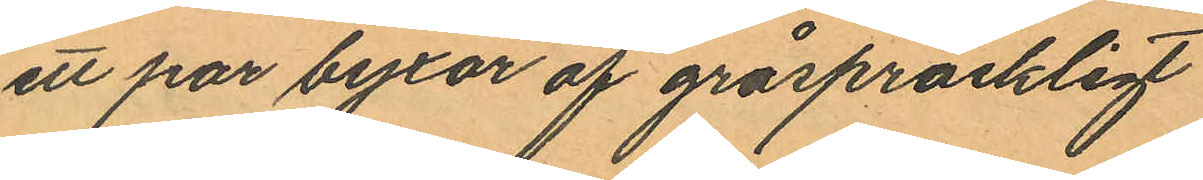ett par byxor af gråspräckligt
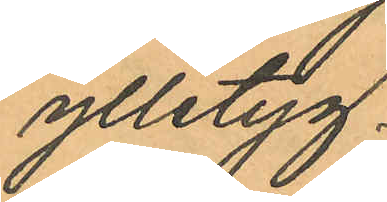ylletyg
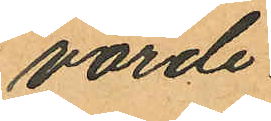värde
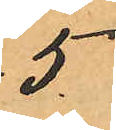5
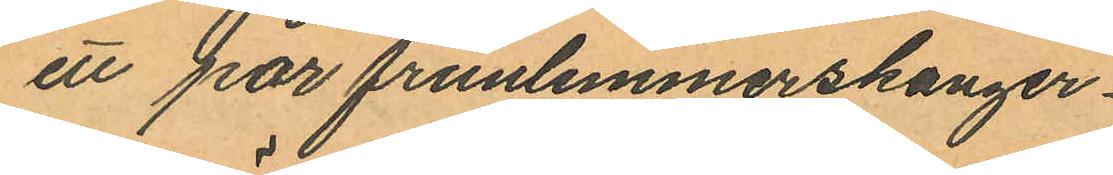ett par frunlimmerskanger
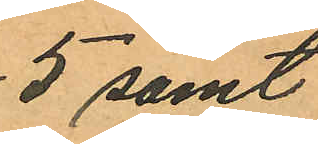5 samt
